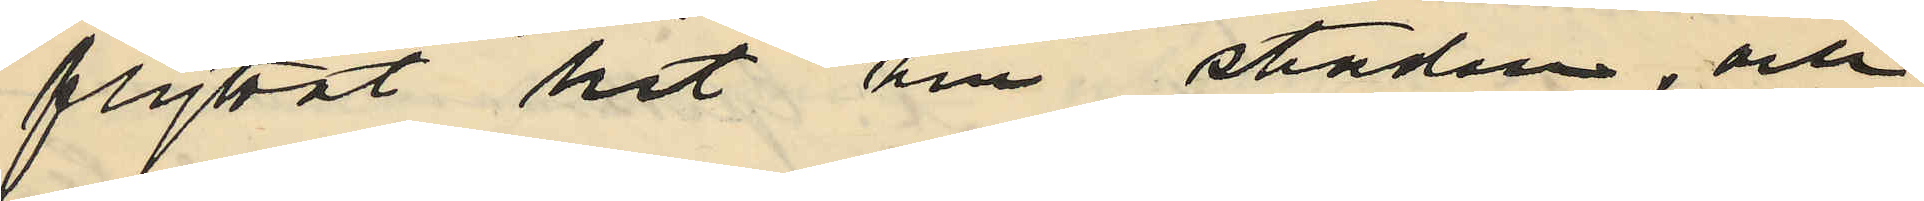flyttat hit till staden, och
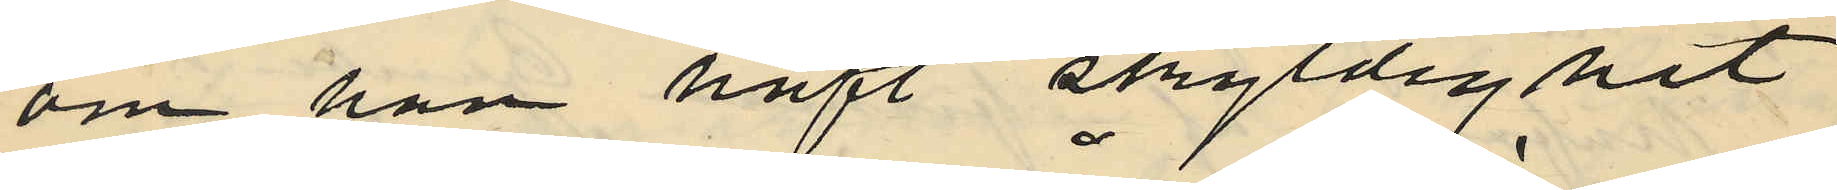om han haft skyldighet
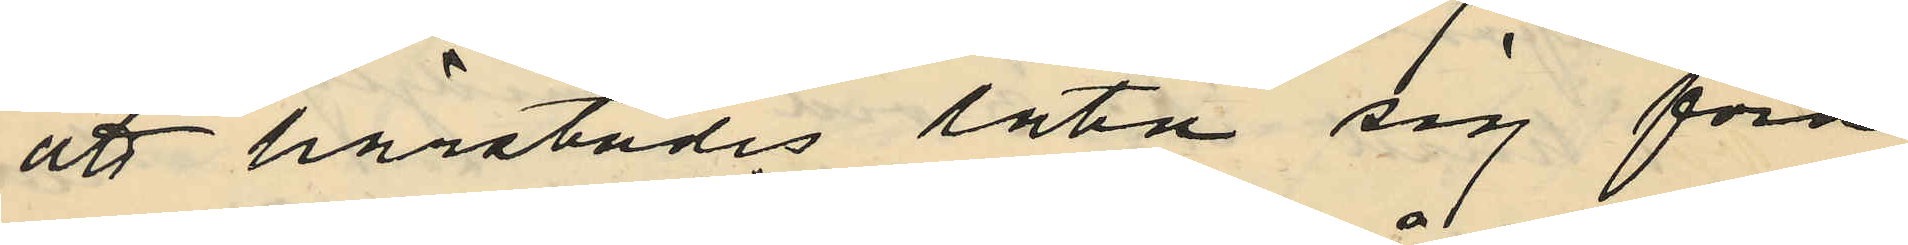att härstädes låta sig föra
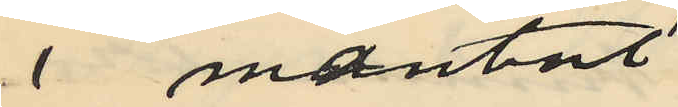i mantal
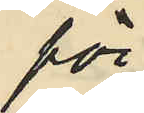för
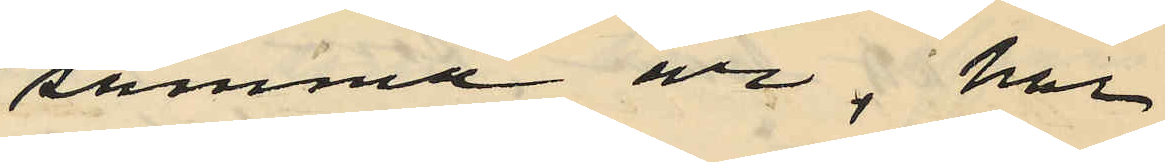samma år; har
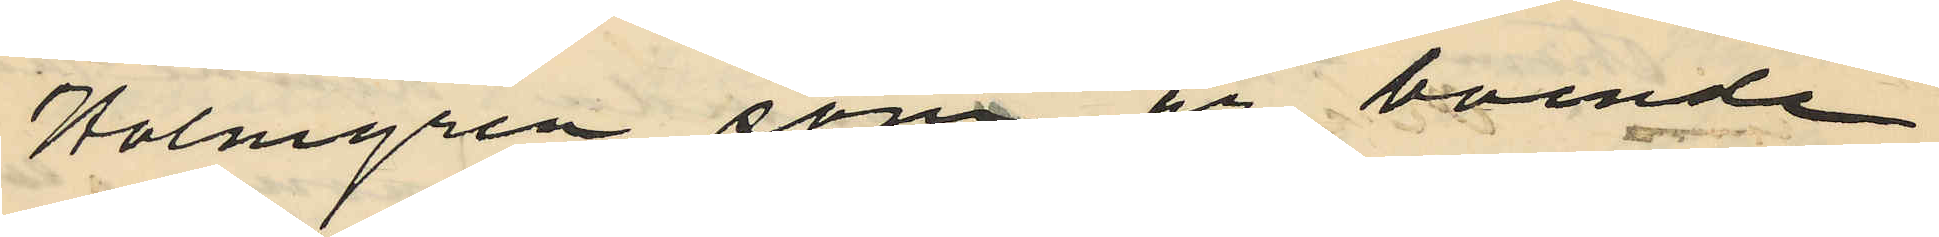Holmgren som är boende
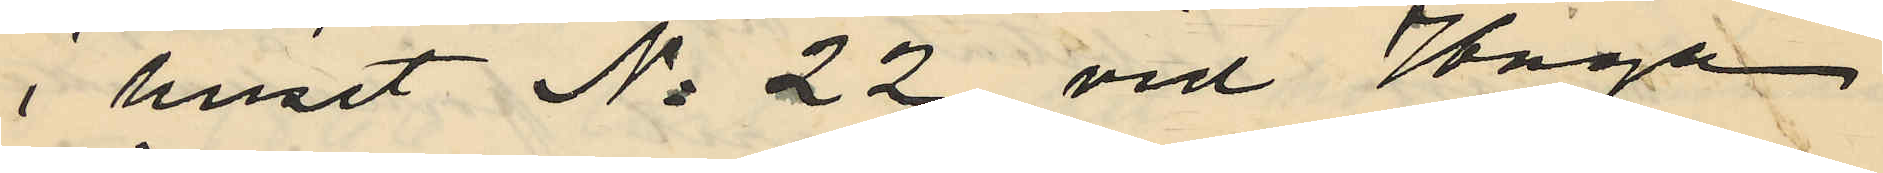i huset No 22 vid Haga
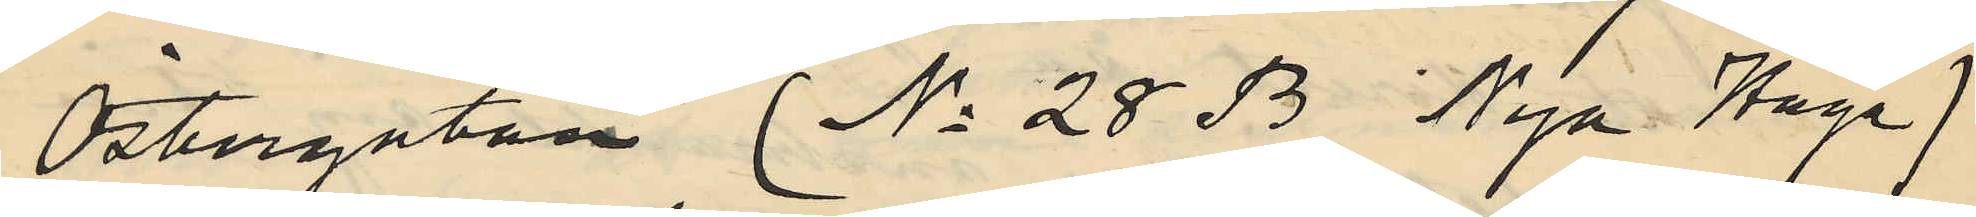Östergatan (No 28 B Nya Haga)
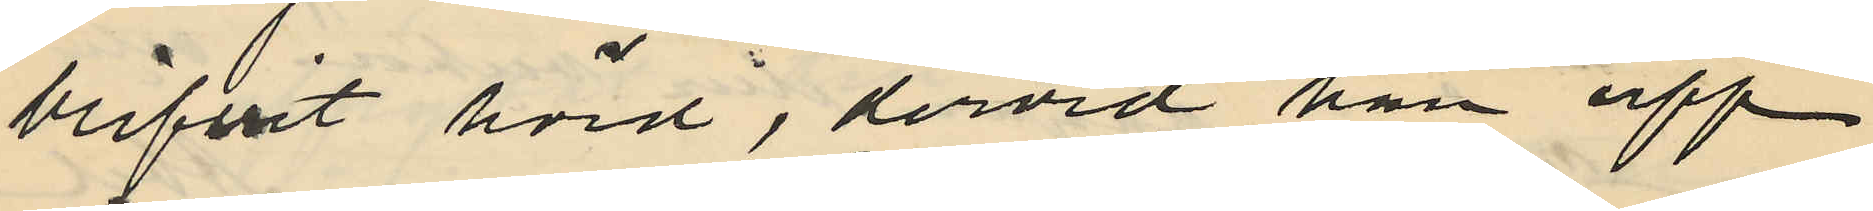blifvit hörd, dervid han upp¬
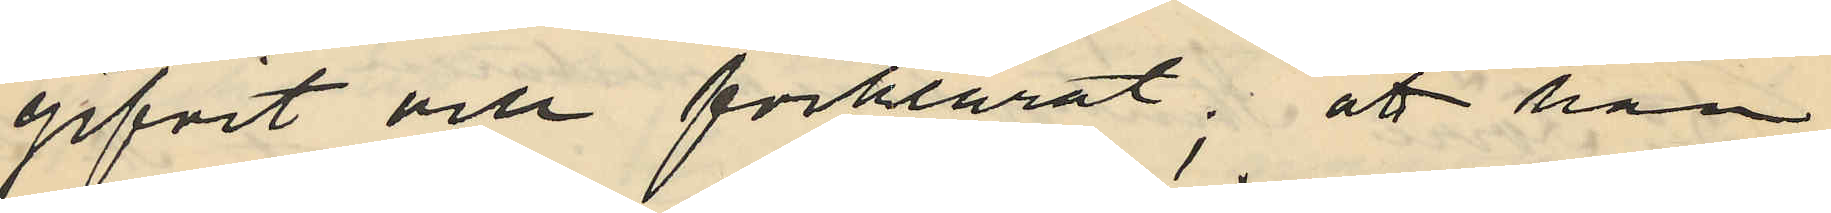gifvit och förklarat; att han
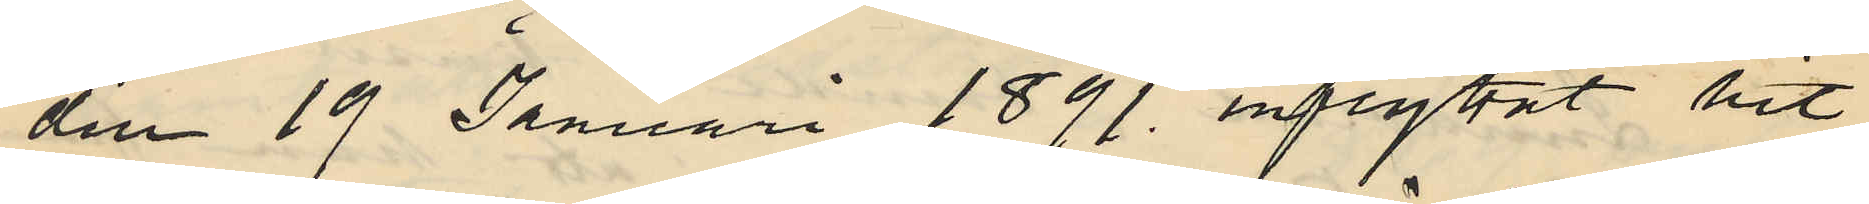den 19 Januari 1891. inflyttat hit
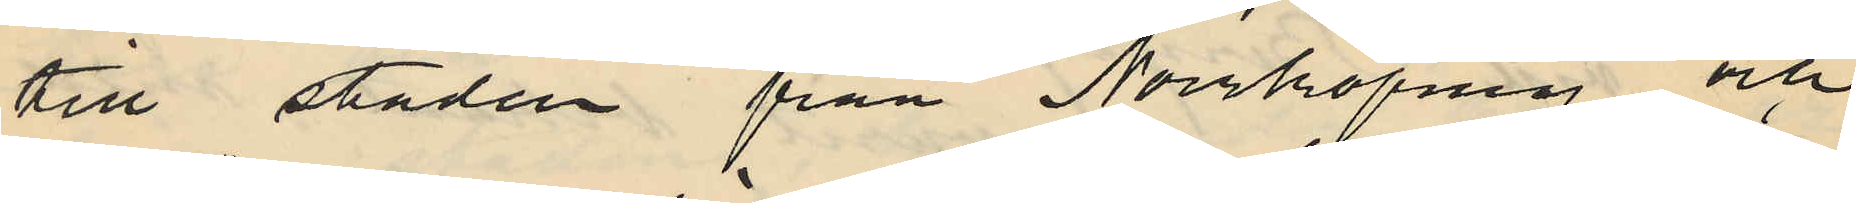till staden från Norrköping och
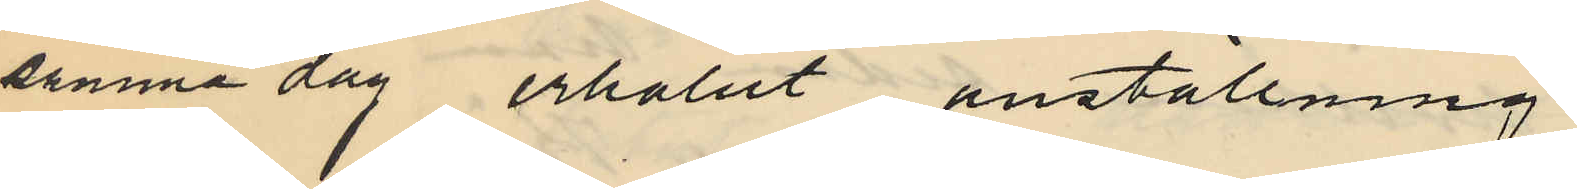samma dag erhållit anställning
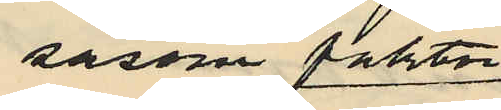såsom faktor
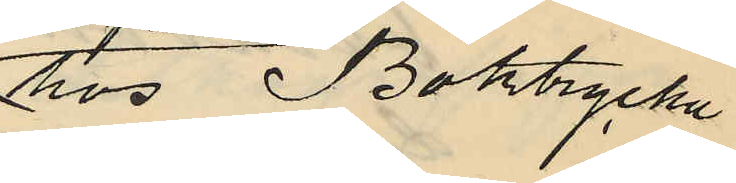hos Boktrycka
